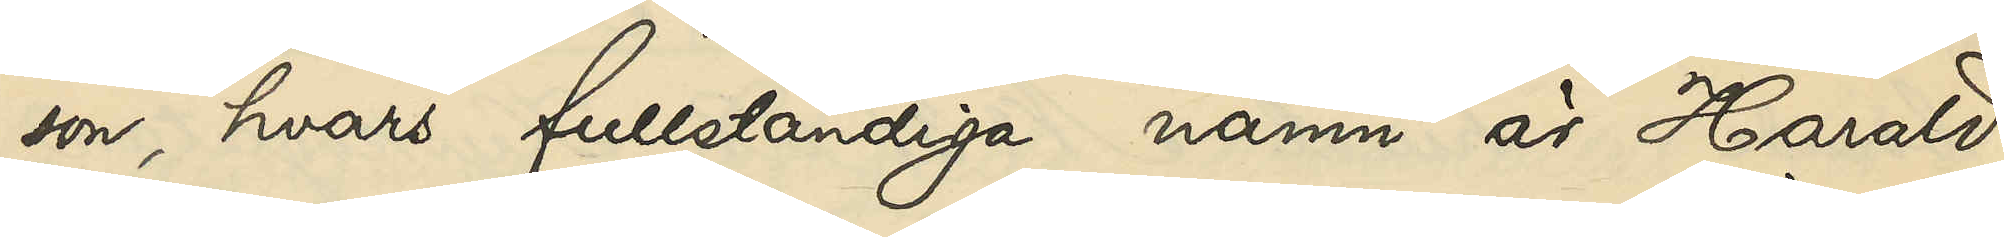son, hvars fullständiga namn är Harald
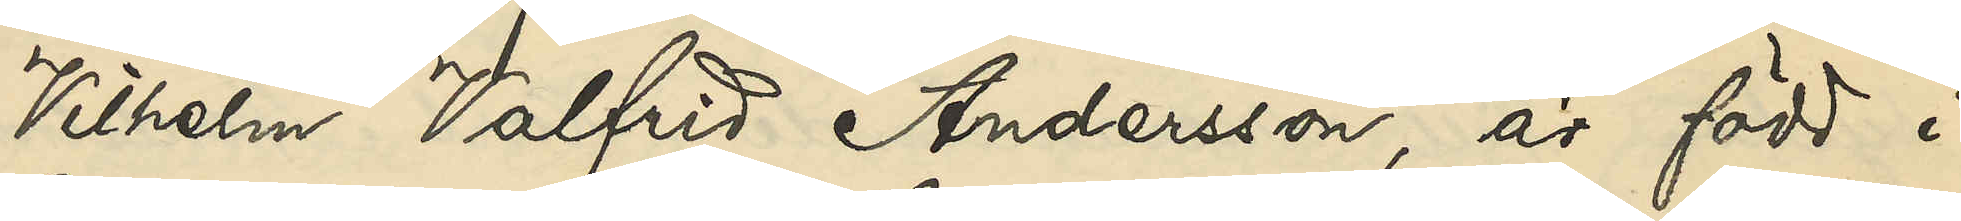Vilhelm Valfrid Andersson, är född i
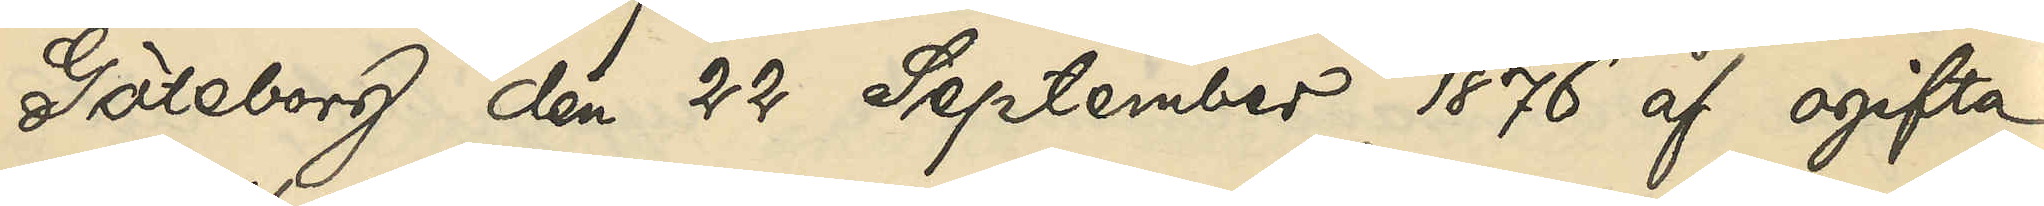Göteborg den 22 September 1876 af ogifta
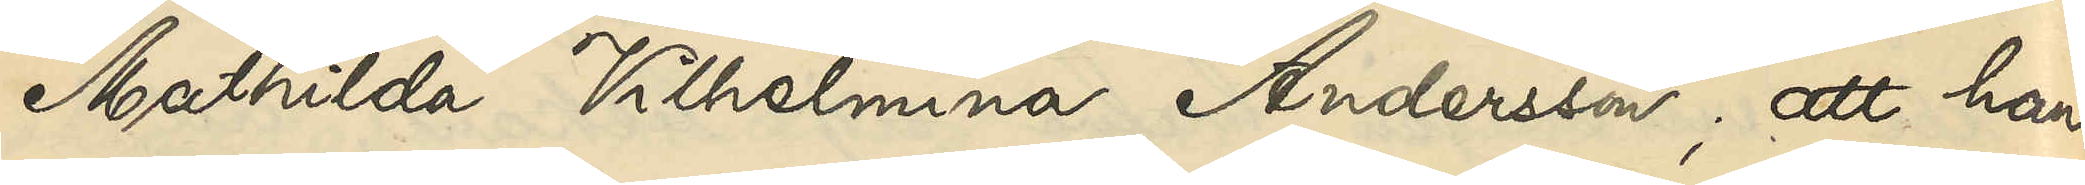Mathilda Vilhelmina Andersson; att han
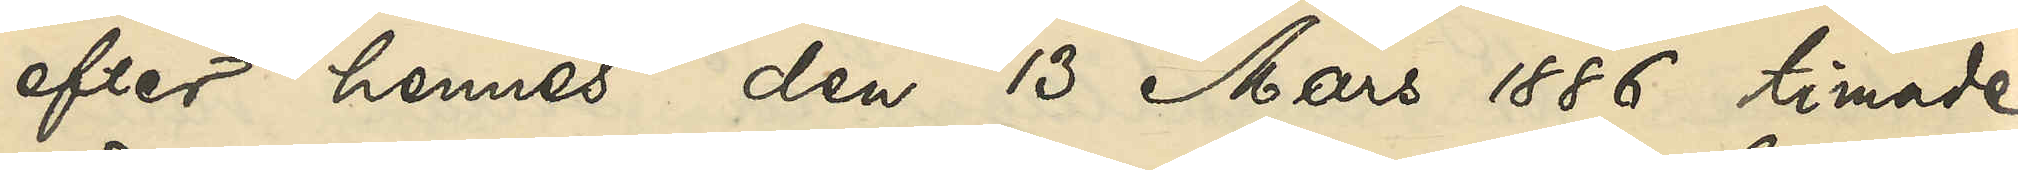efter hennes den 13 Mars 1886 timade
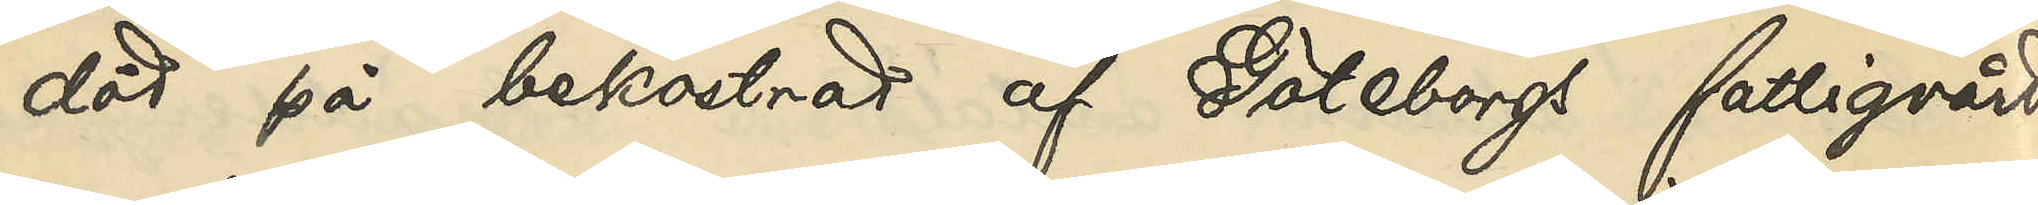död på bekostnad af Göteborgs fattigvård
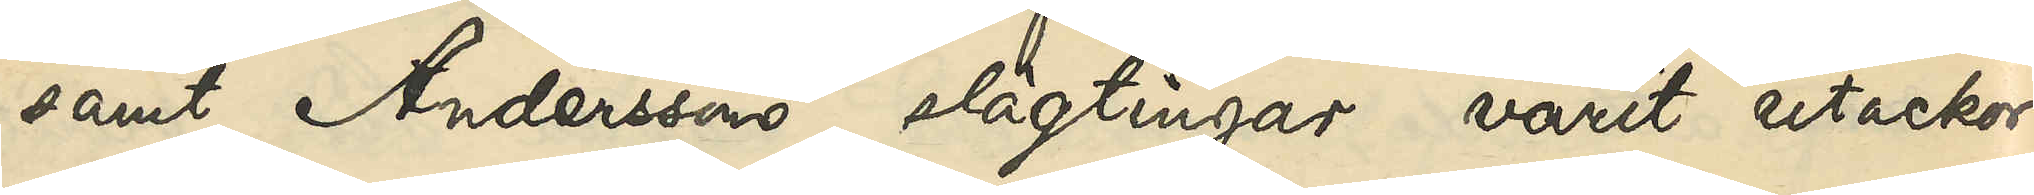samt Anderssons slägtingar varit utackor¬
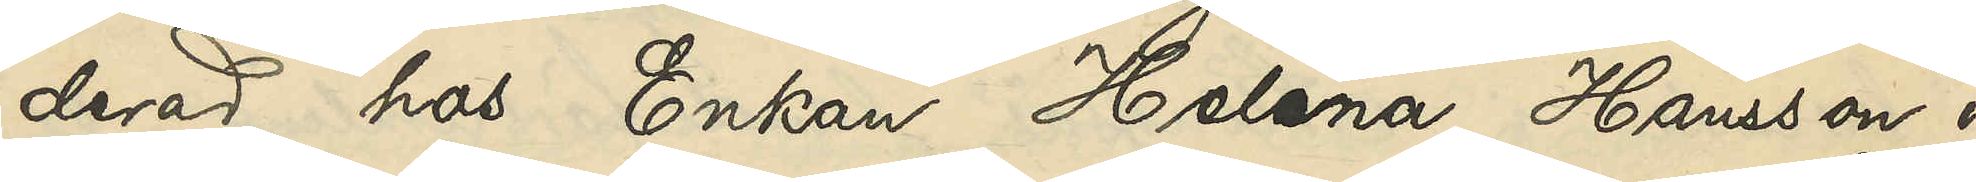derad hos Enkan Helena Hansson i
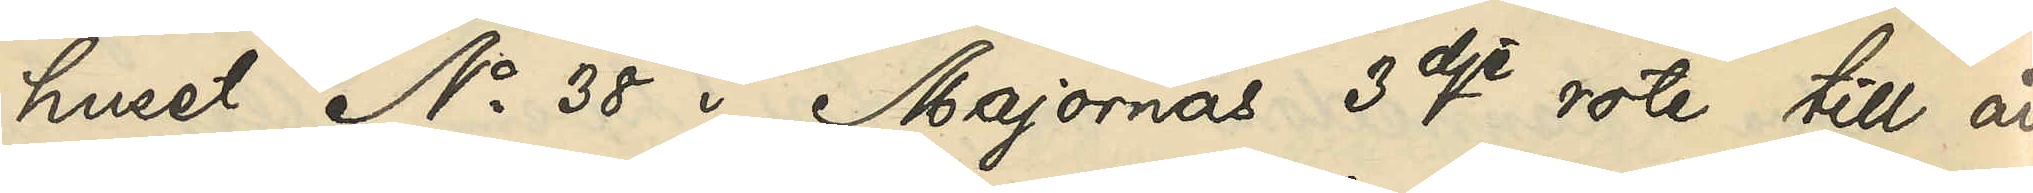huset No 38 i Majornas 3dje rote till år
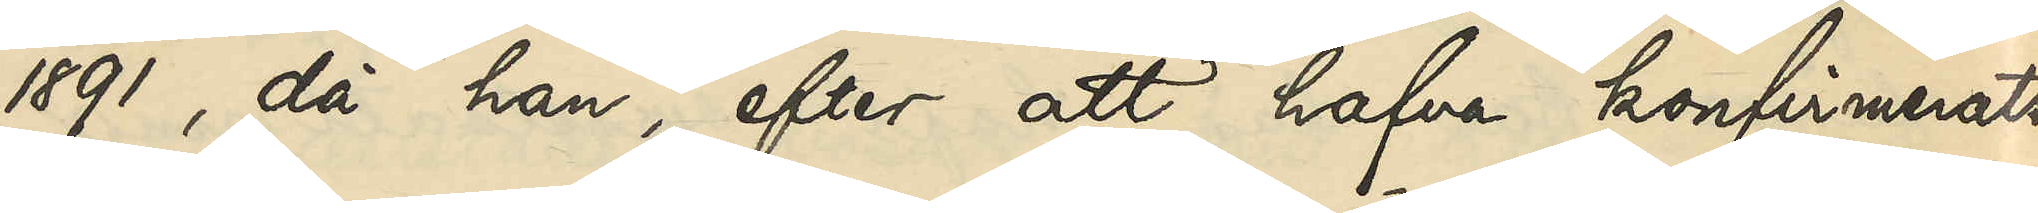1891, då han, efter att hafva konfirmerats
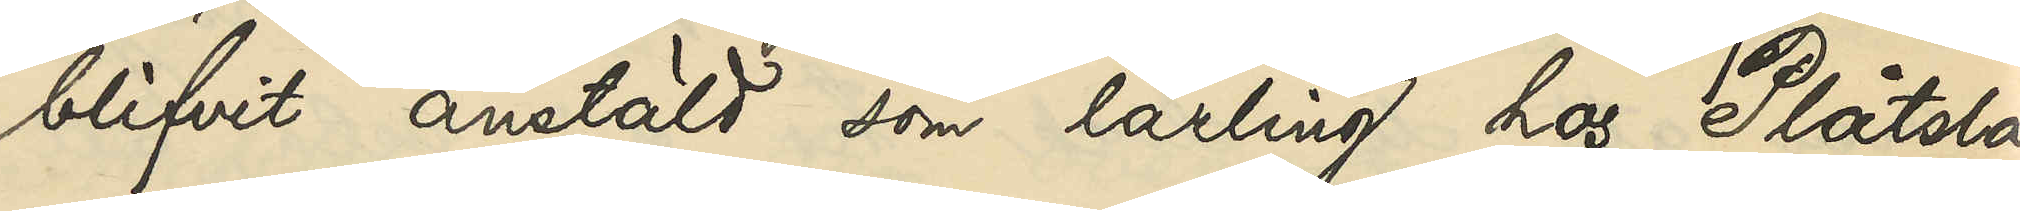blifvit anstäld som lärling hos Plåtsla¬
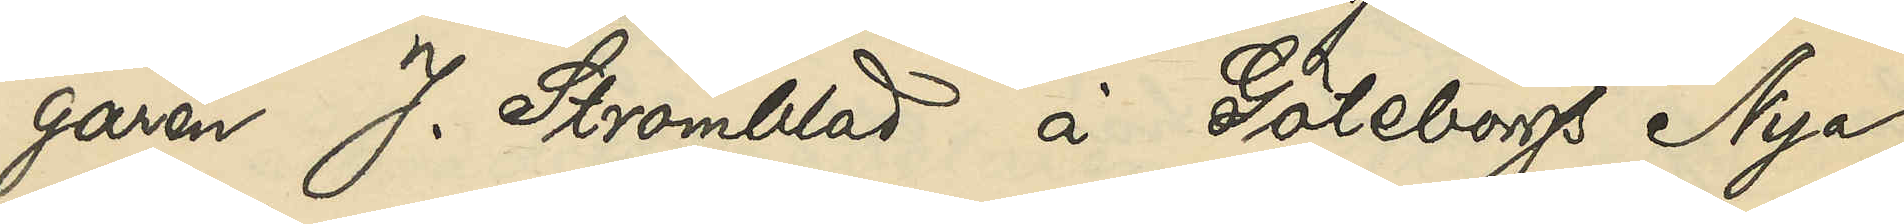garen J. Strömblad å Göteborgs Nya
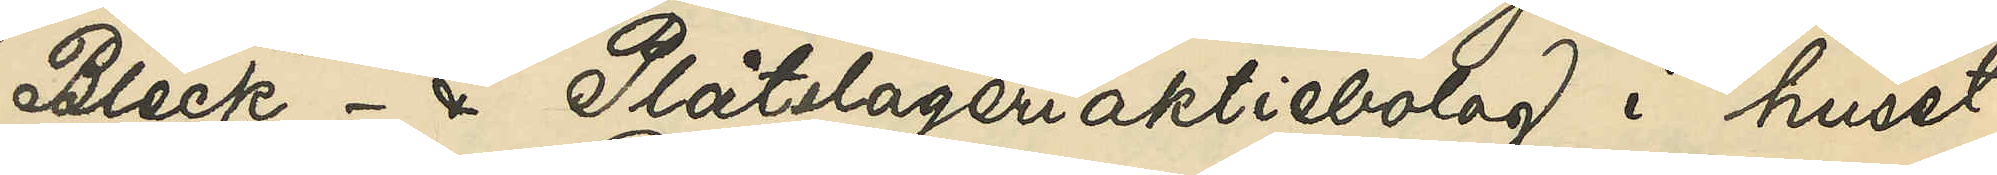Bleck- & Plåtslageriaktiebolag i huset
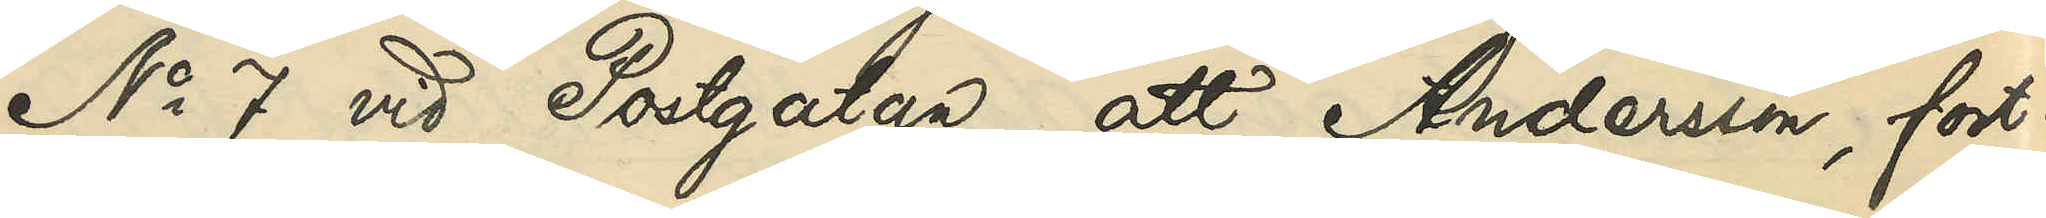No 7 vid Postgatan; att Andersson, fort¬
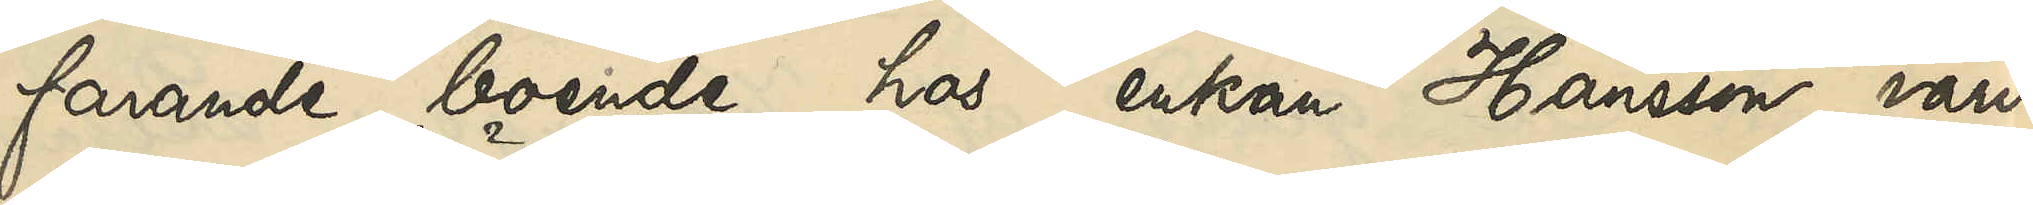farande boende hos enkan Hansson, varit
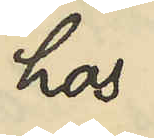hos
